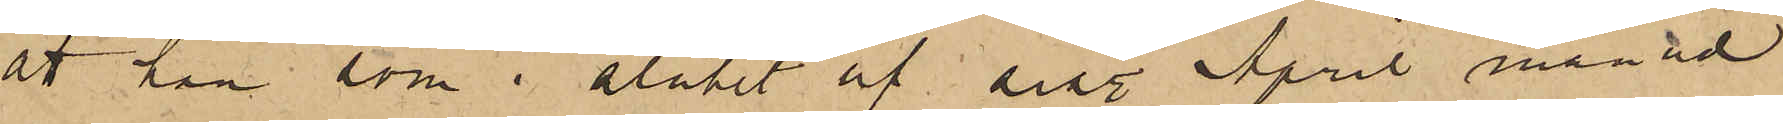att han som i slutet af sist. April månad
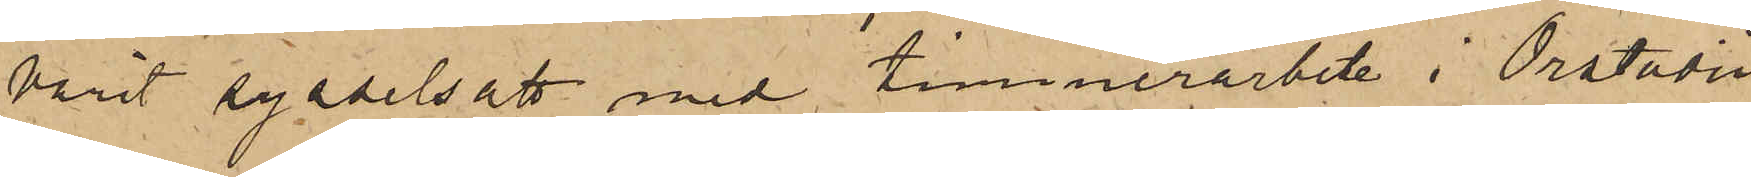varit sysselsatt med timmerarbete i Orstadii
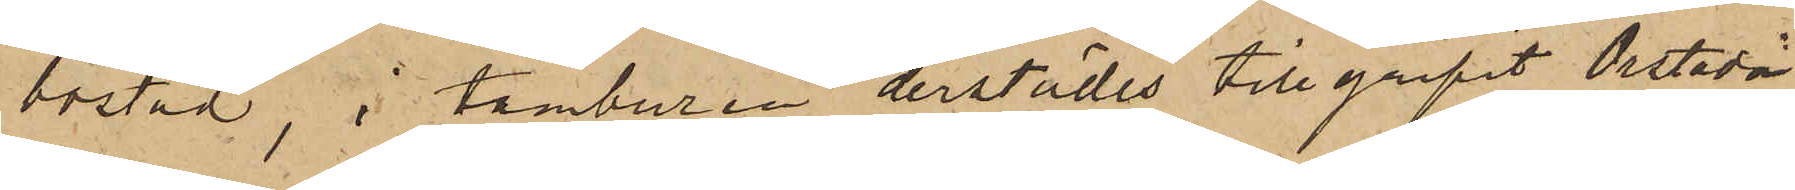bostad, i tamburen derstädes tillgripit Orstadii
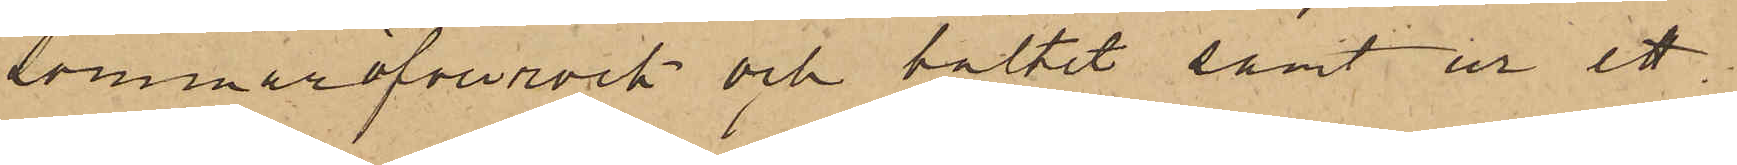sommaröfverrock och bältet samt ur ett
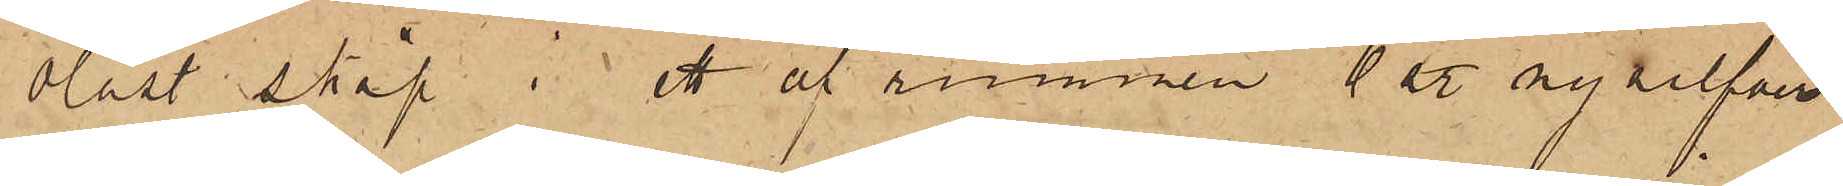olåst skåp i ett af rummen 6 st. nysilfver
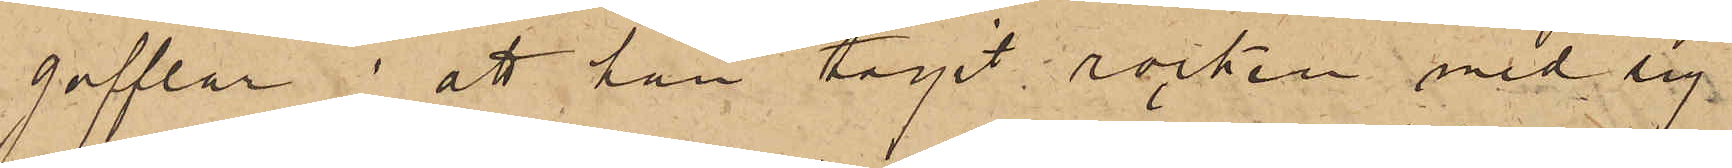gafflar; att han tagit rocken med sig
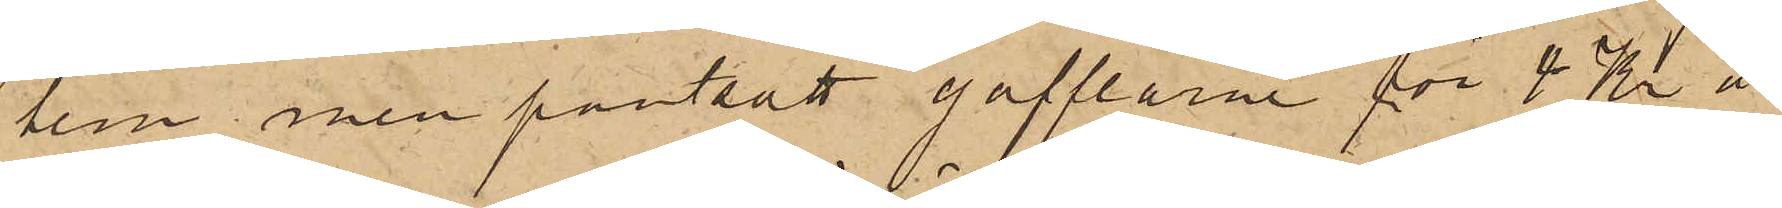hem men pantsatt gafflarne för 4 Kr å
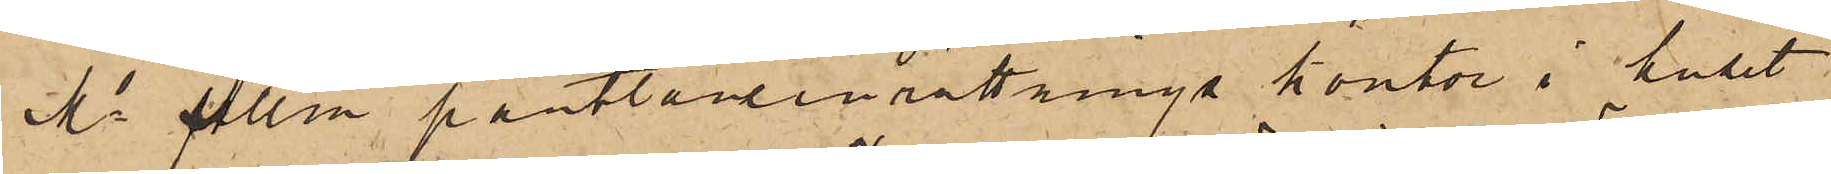Ms Allm pantlåneinrättnings kontor i huset
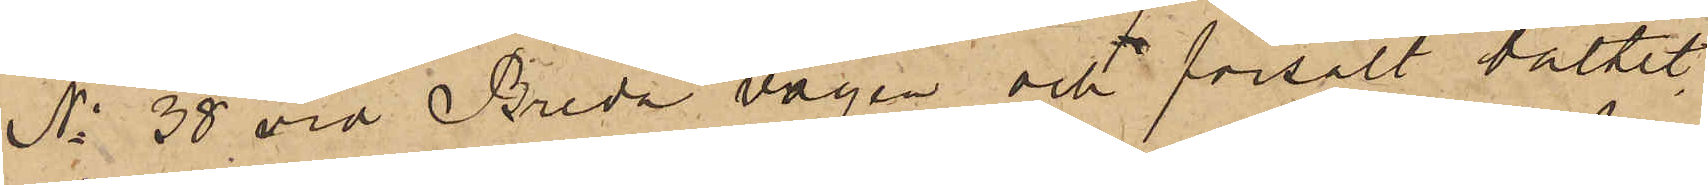No 38 vid Breda vägen och försålt bältet
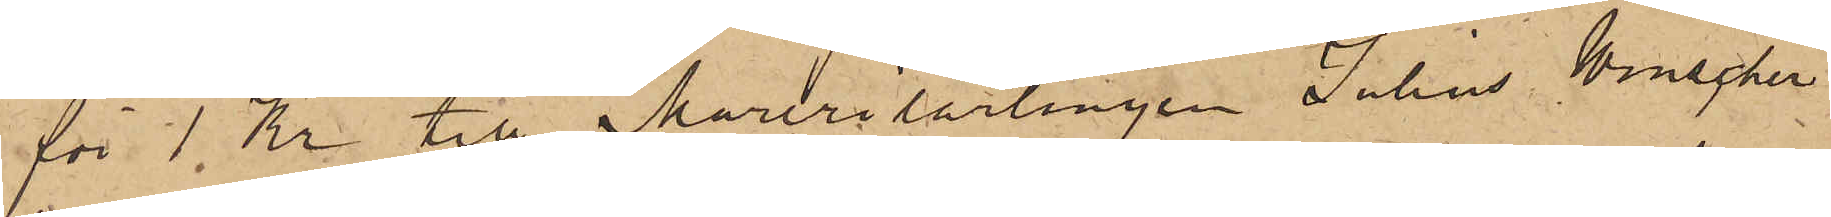för 1 Kr. till Murerilärlingen Julius Winscher
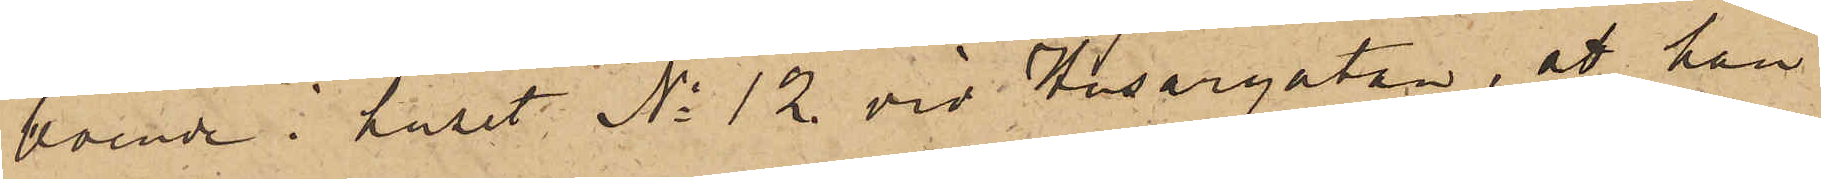boende i huset No 12 vid Husargatan, att han
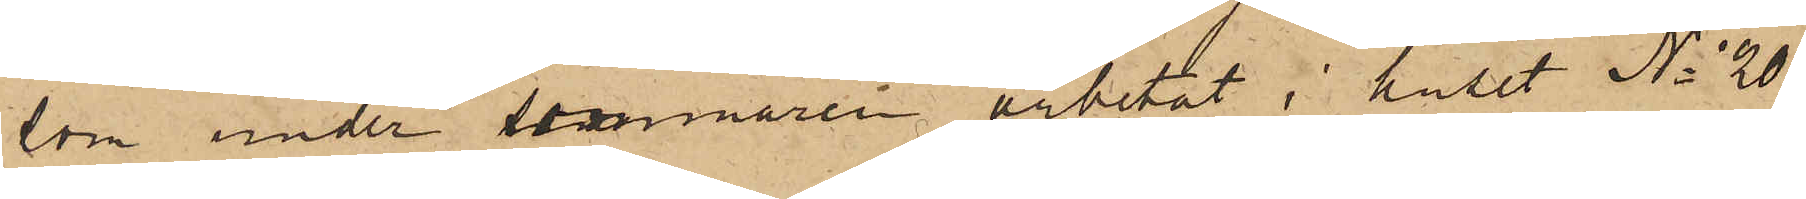som under sommaren arbetat i huset No 20
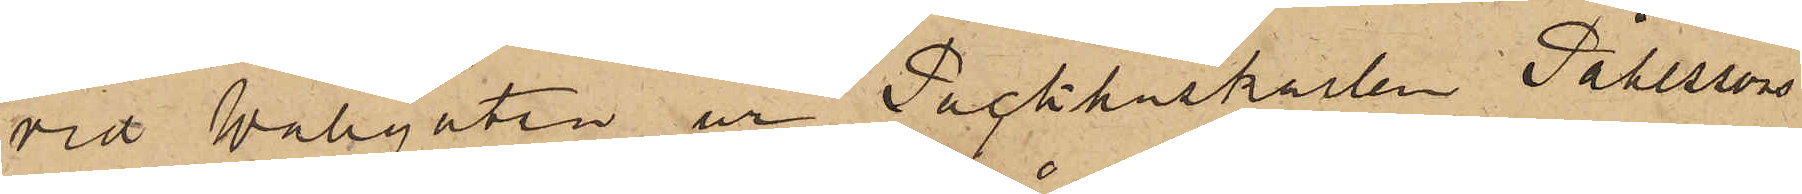vid Wallgatan ur Packhuskarlen Påhlssons
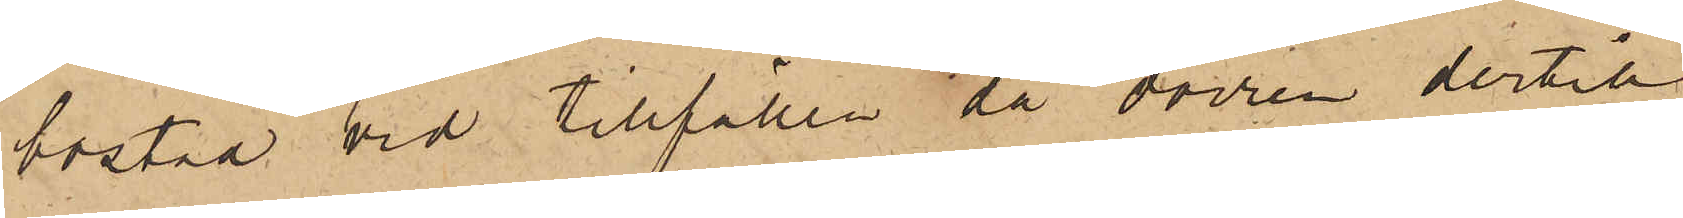bostad vid tillfällen då dörren dertill
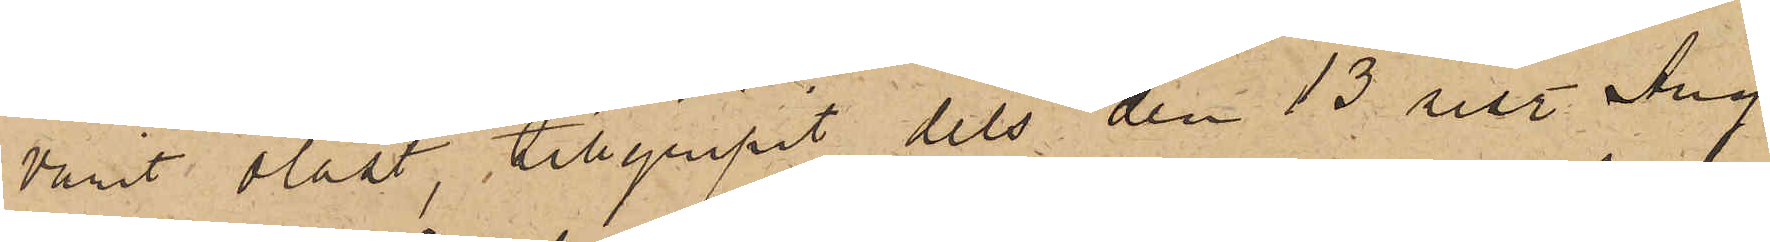varit olåst, tillgripit dels den 13 sist. Aug
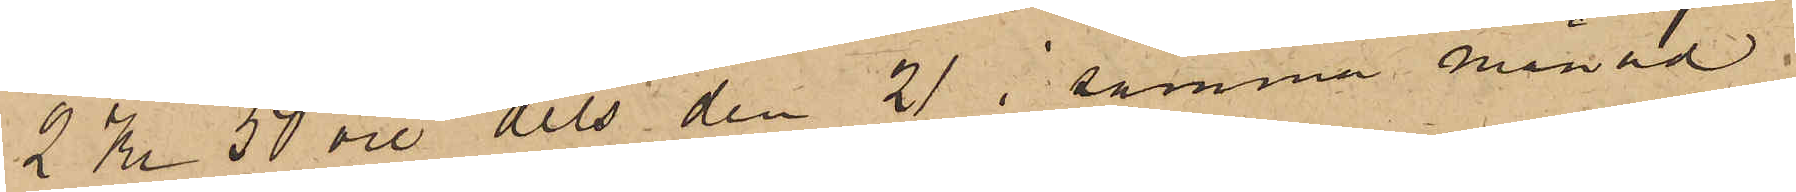2 Kr 50 öre dels den 21 i samma månad
